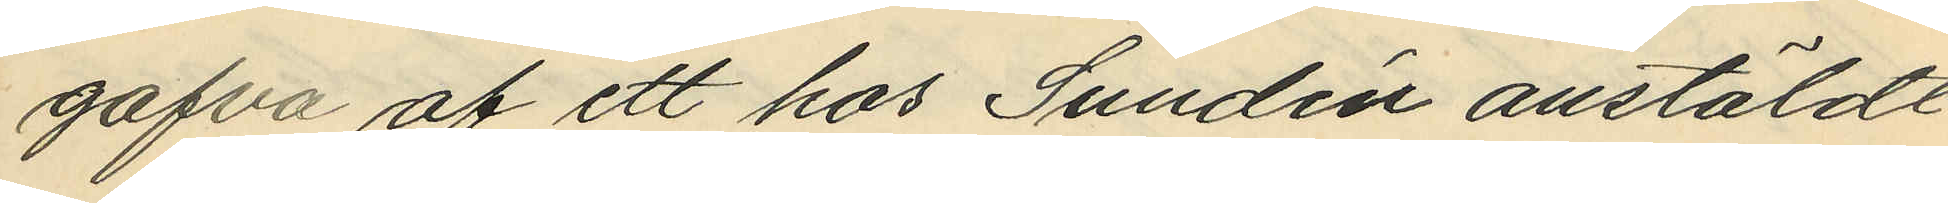gåfva af ett hos Sundén anstäldt
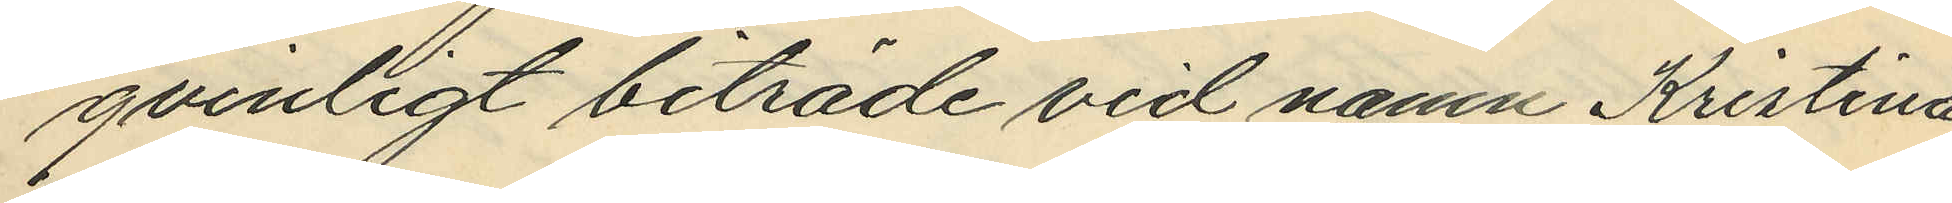qvinligt biträde vid namn Kristina
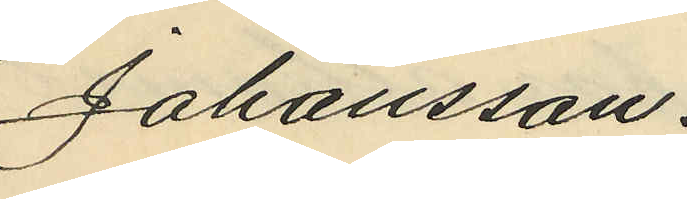Johansson.
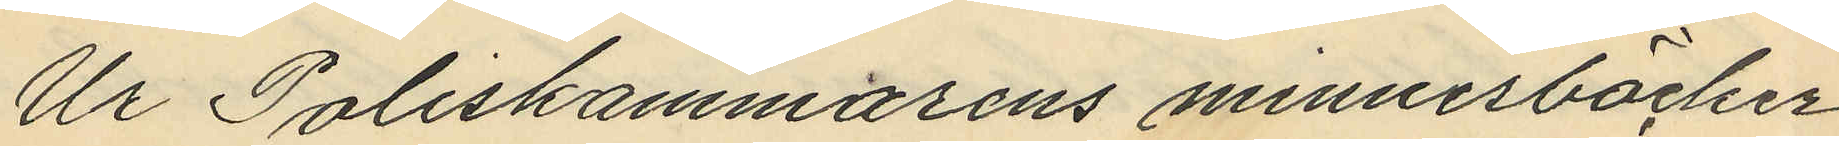Ur Poliskammarens minnesböcker
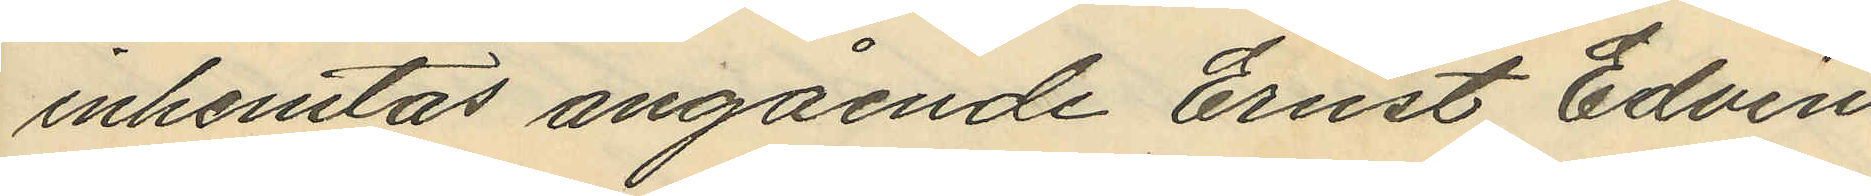inhemtas angående Ernst Edvin
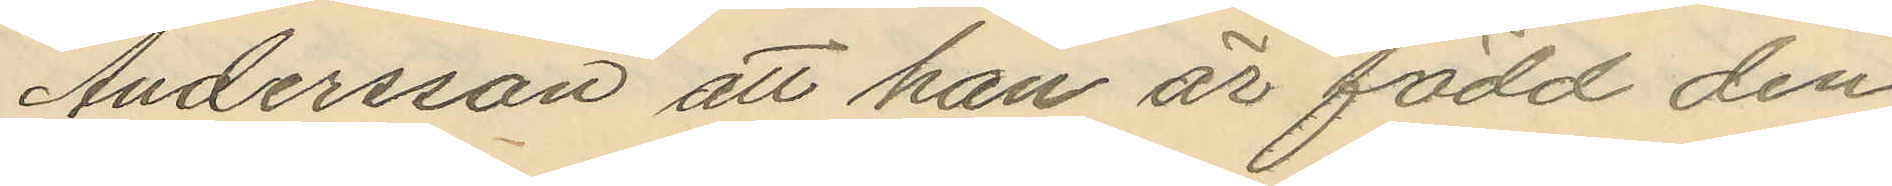Andersson att han är född den
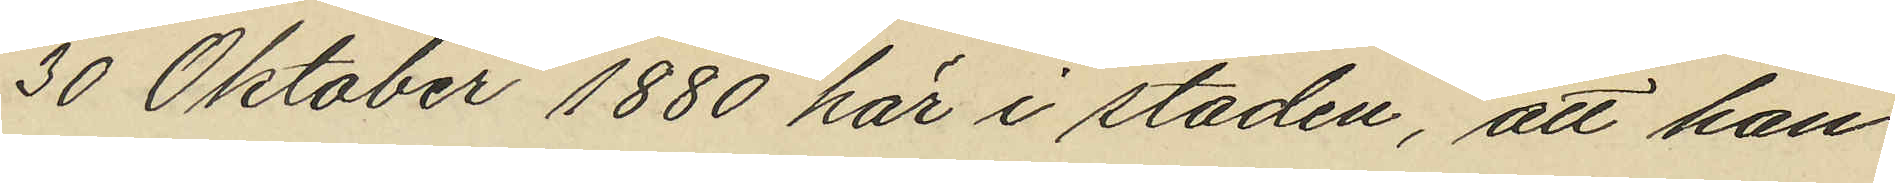30 Oktober 1880 här i staden, att han
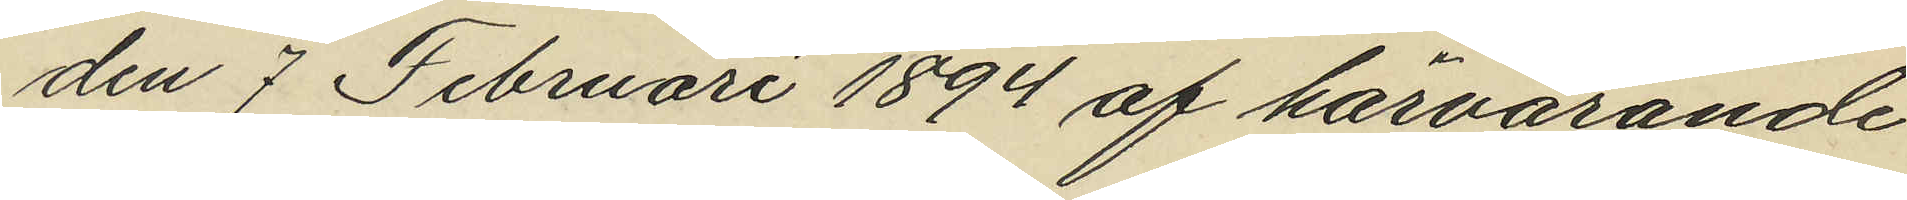den 7 Februari 1894 af härvarande
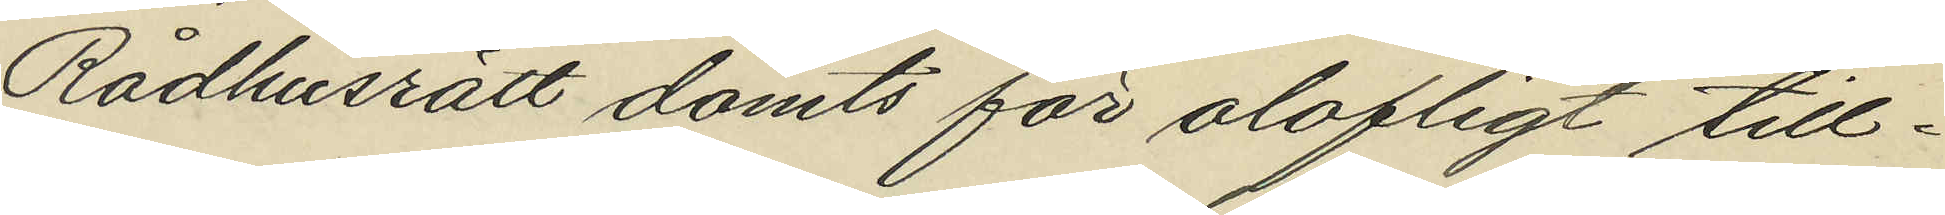Rådhusrätt dömts för olofligt till¬
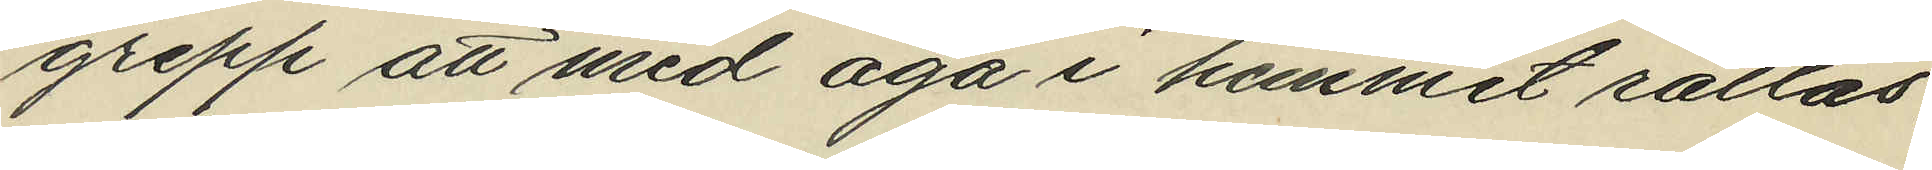grepp att med aga i hemmet rättas,
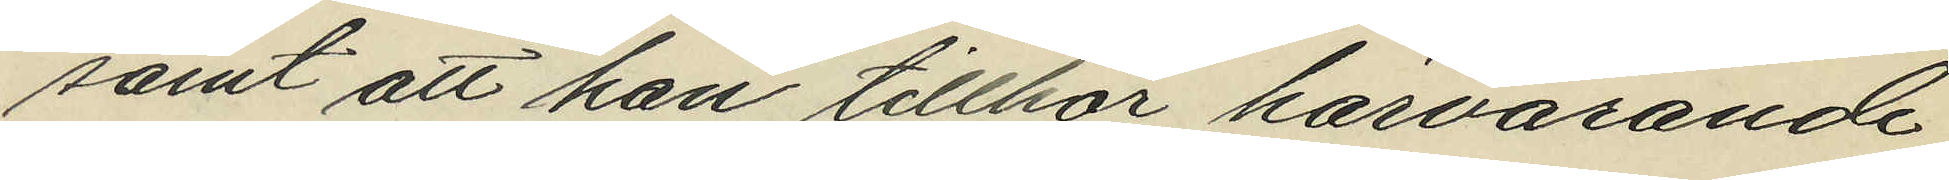samt att han tillhör härvarande
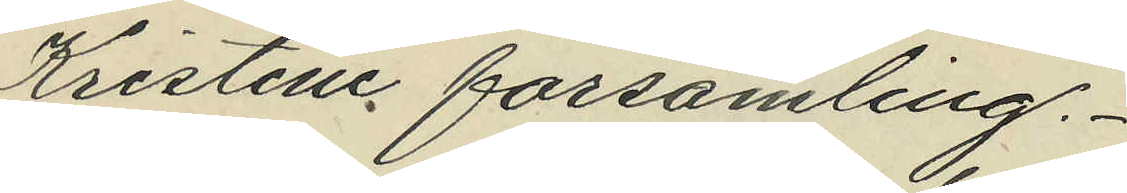Kristine församling.
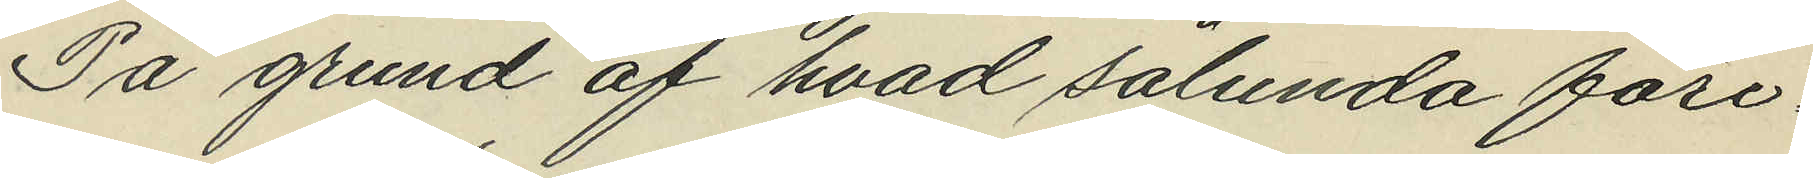På grund af hvad sålunda före¬
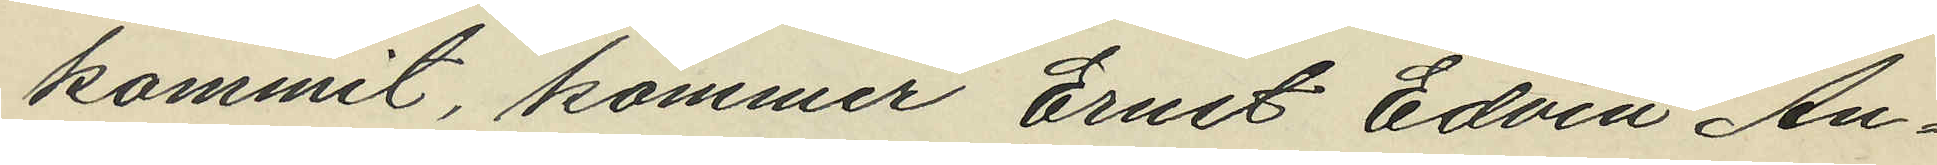kommit, kommer Ernst Edvin An¬
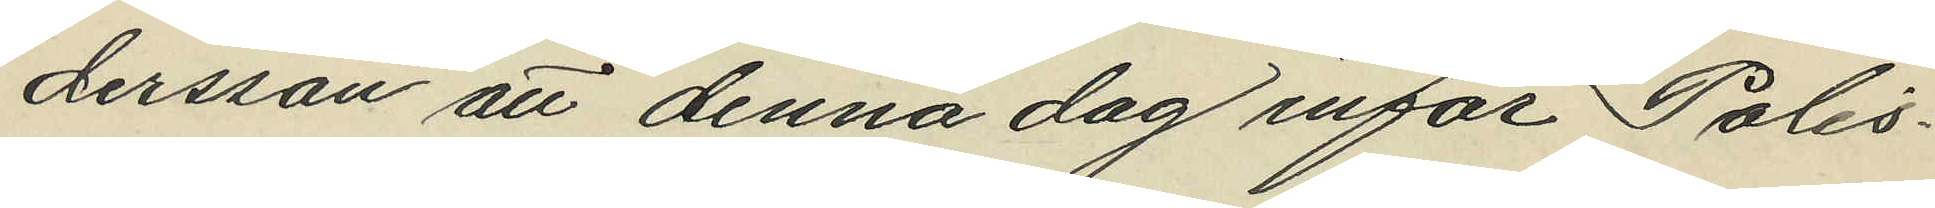dersson att denna dag inför Polis¬
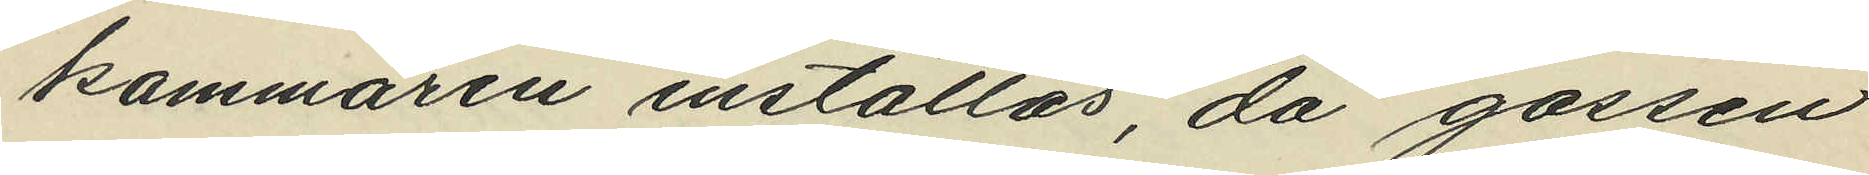kammaren inställas, då gossen
